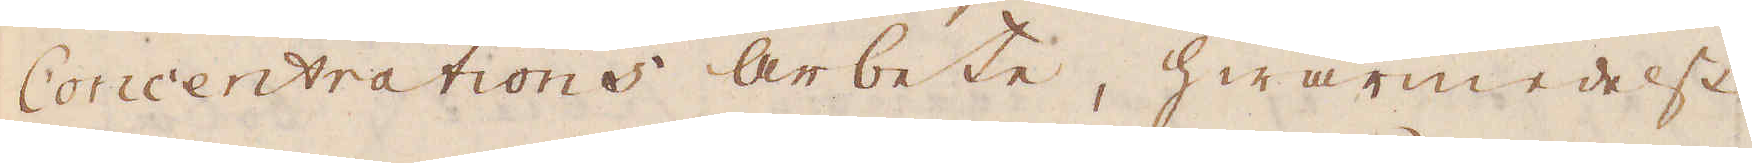Concentrations arbete, hwarmedelst
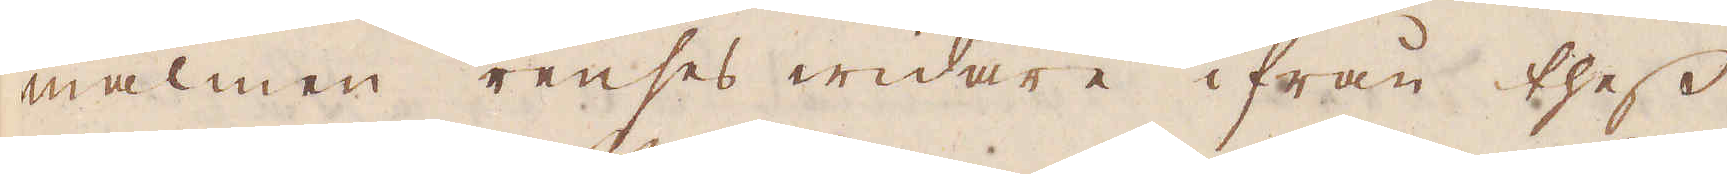malmen renses widare ifrån thess
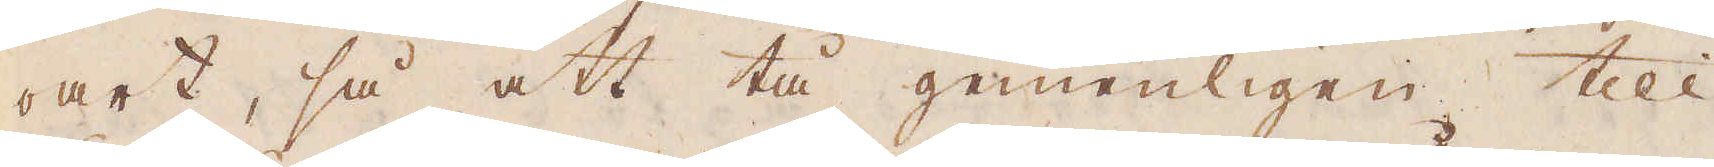oart, så att tå gemenligen till
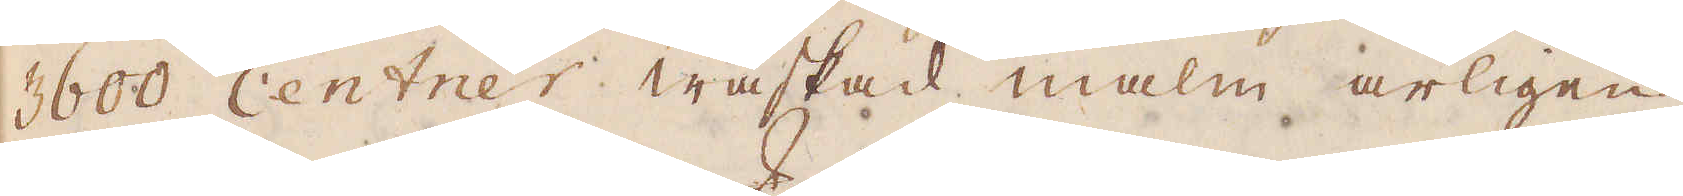3600 Centrer waskad malm årligen
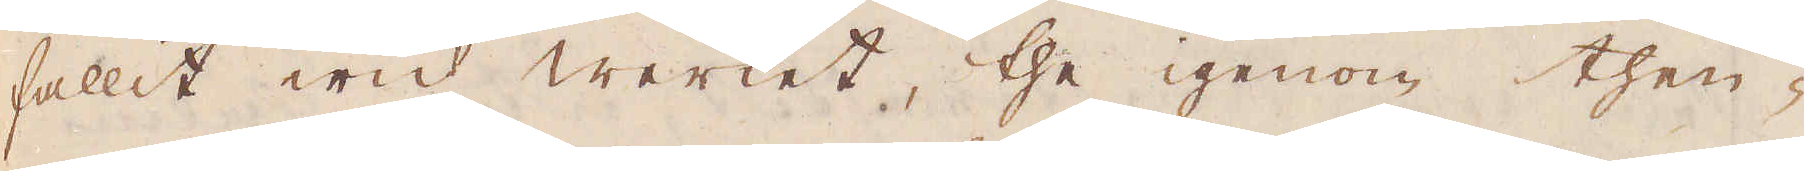fallit wid werket, the igenom then-
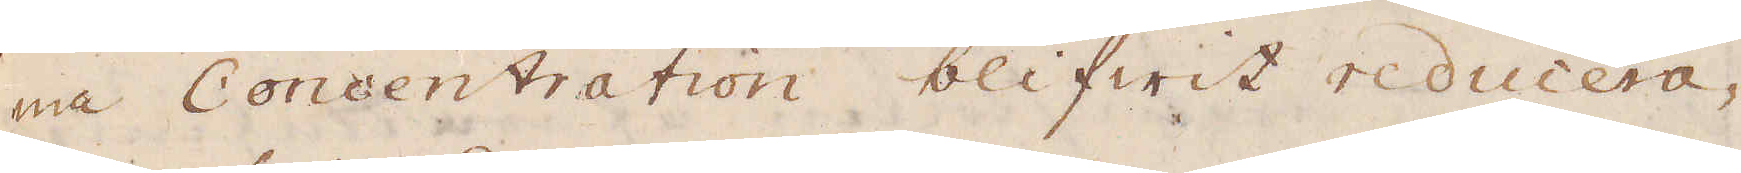na Concentration blifwit reducera-
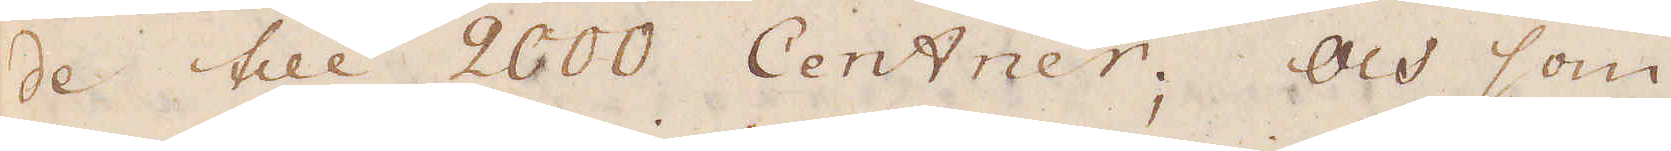de till 2000 Centner; Och som
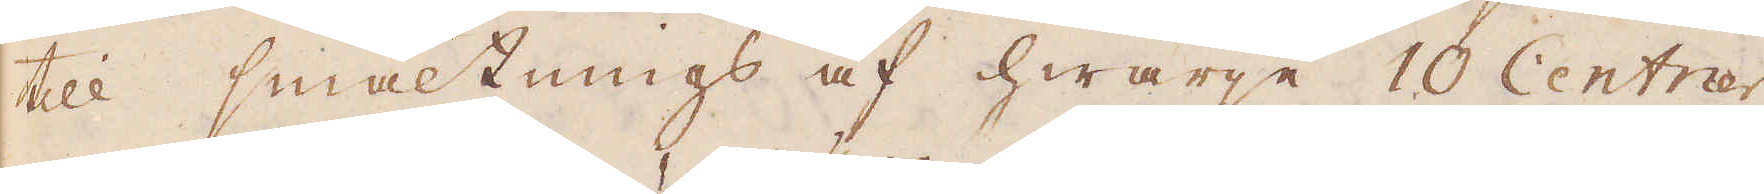till smältnings af hwarje 100 Centner
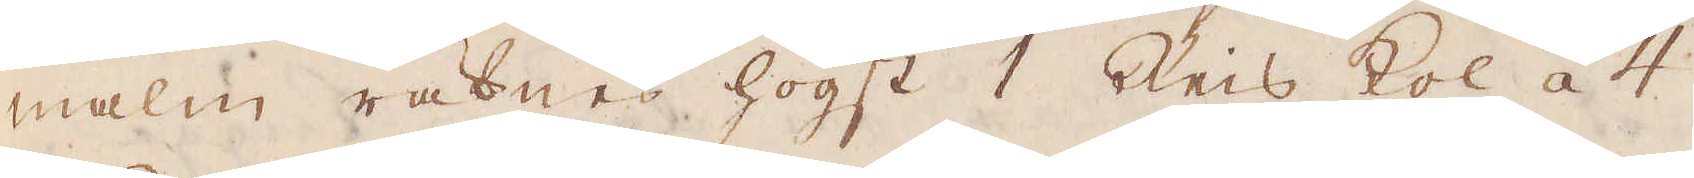malm räknas högst 1 Reis kol áà 4
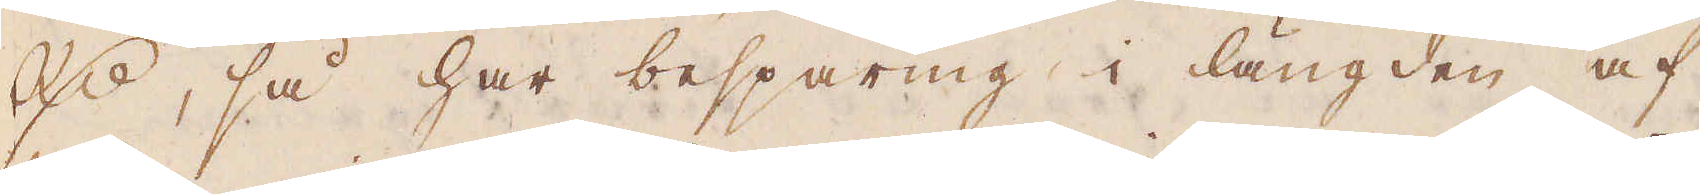R:r, så har besparing i längden af
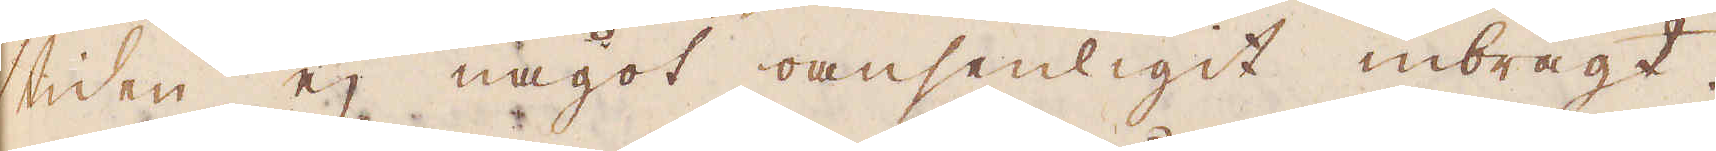tiden ej något oansenligit inbragt.
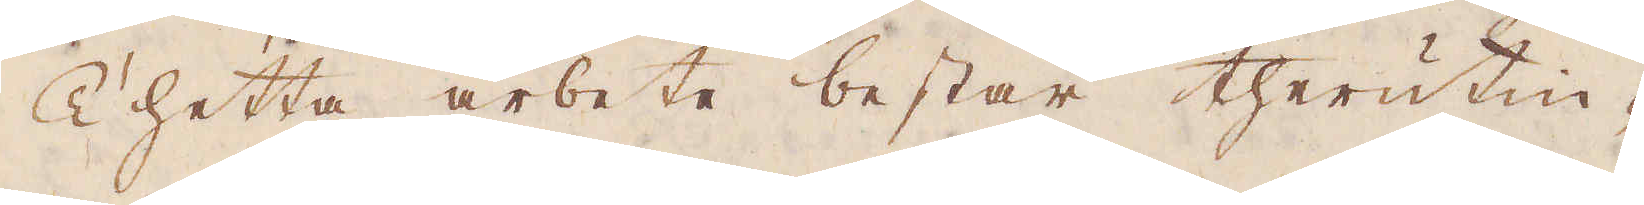Thetta arbete består therutin-
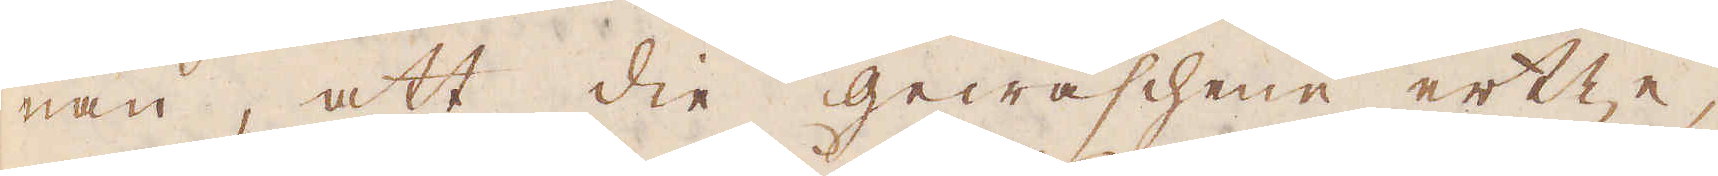nan, att die gewaschenne ertze,
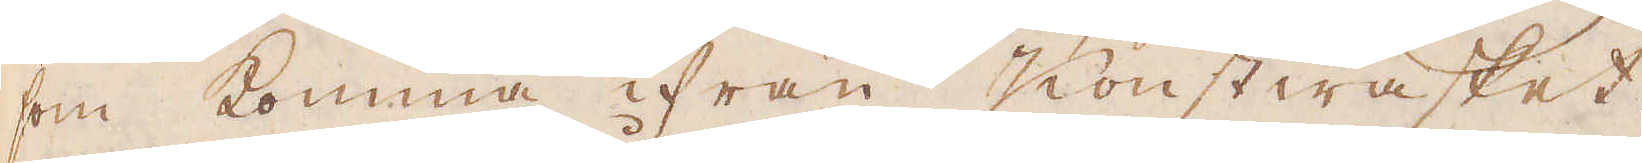som komma ifrån Konstwasket,
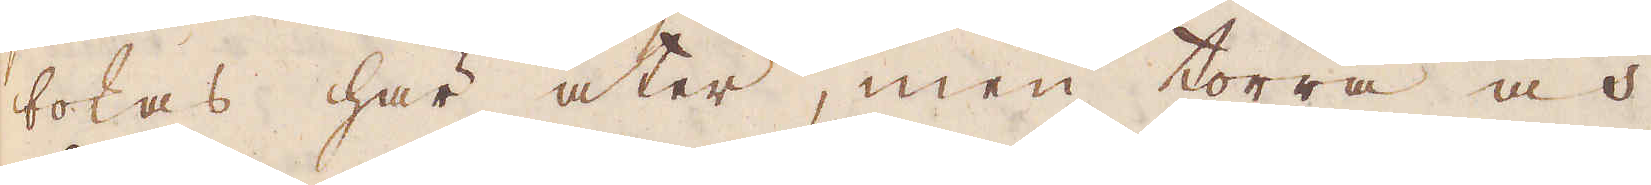bokas här åter, men torra och
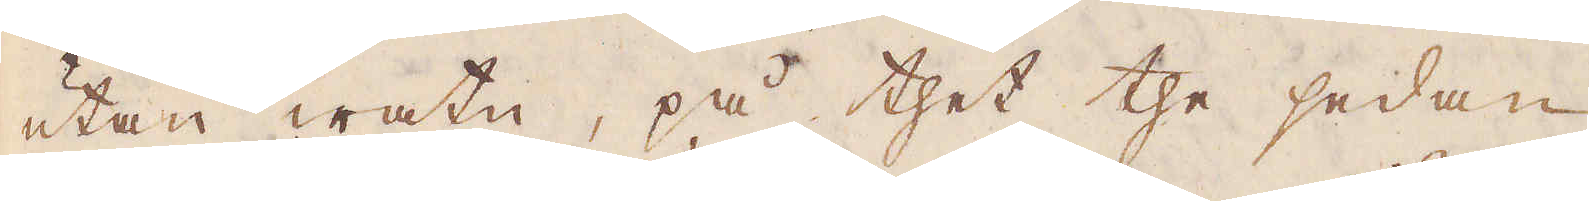utan watn, på thet the sedan
